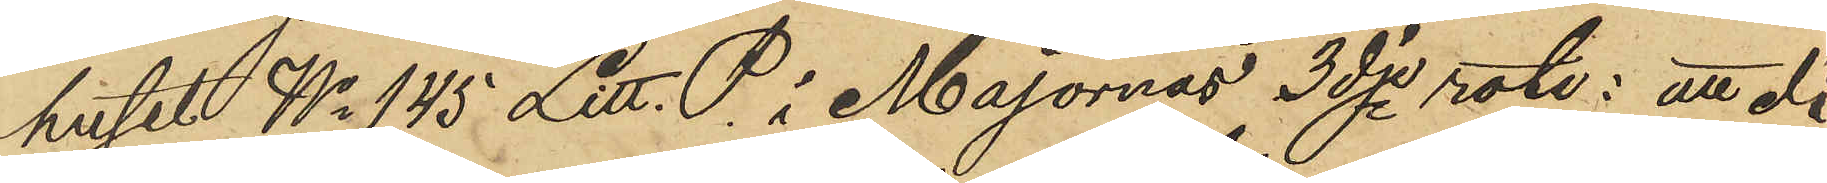huset No 145 Litt. P. i Majornas 3dje rote: att då
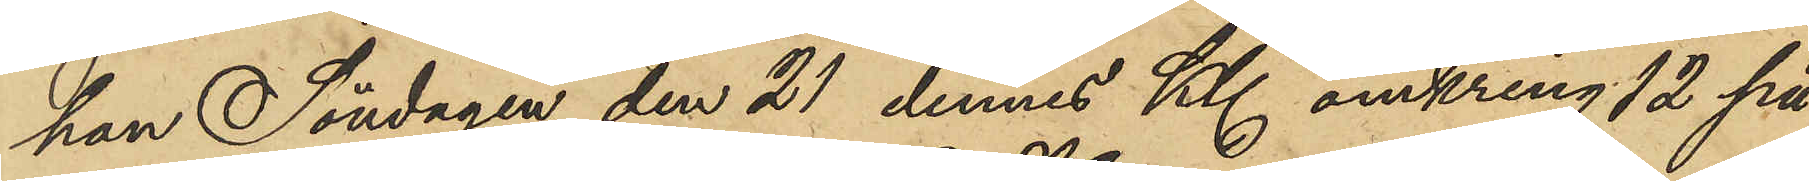han Söndagen den 21 dennes Kl. omkring 12 på
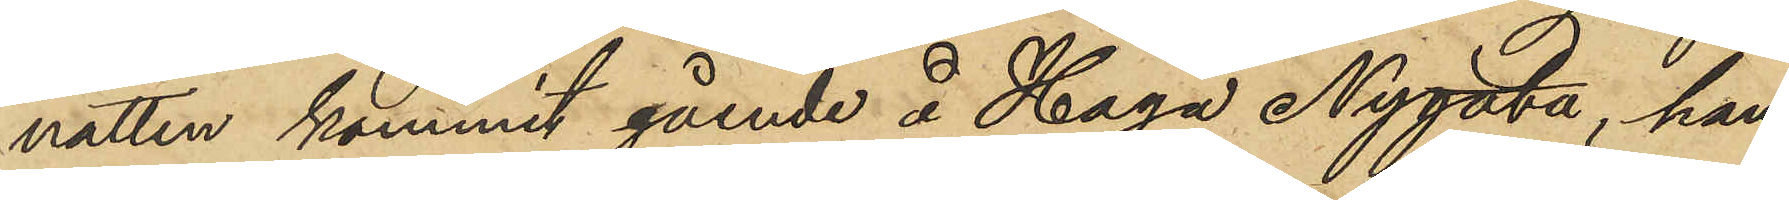natten kommit gående å Haga Nygata, han
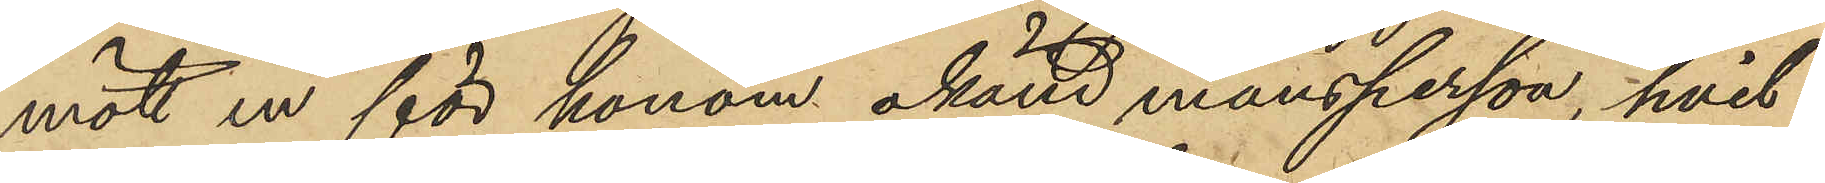mött en för honom okänd mansperson, hvil¬
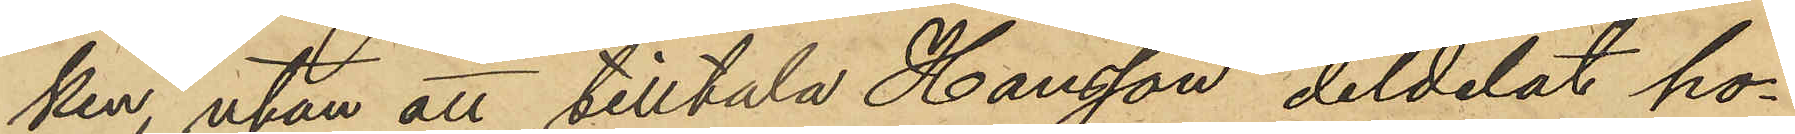ken, utan att tilltala Hansson deldelat ho¬
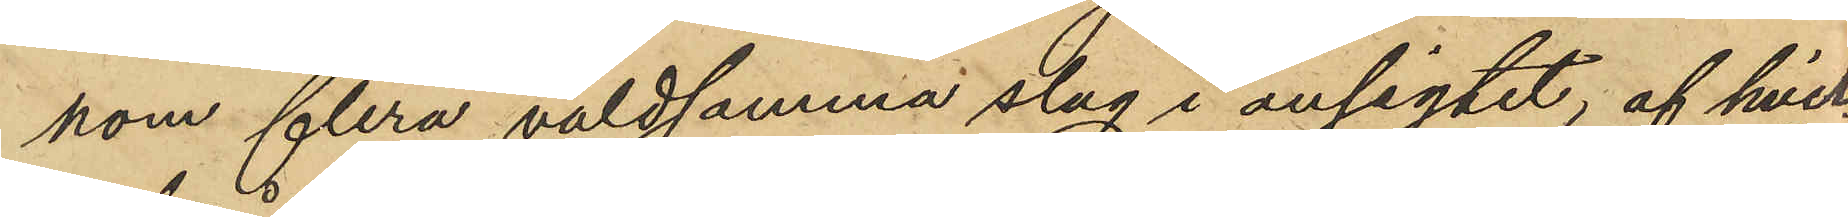hom flera våldsamma slag i ansigtet; af hvil¬
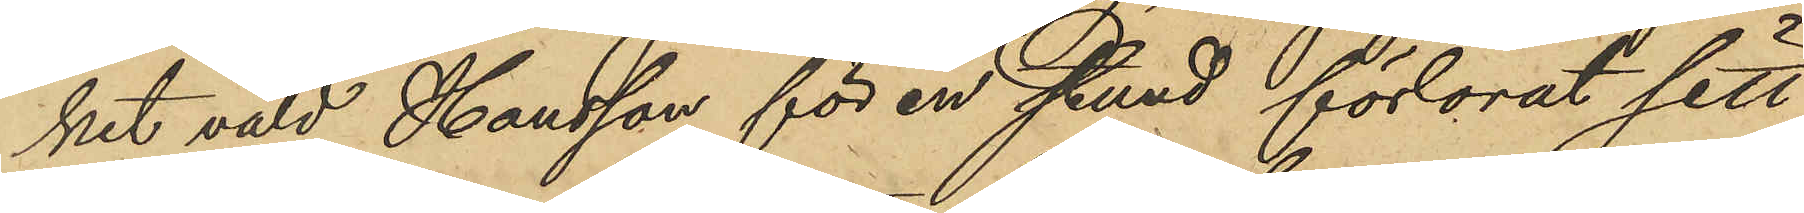ket våld Hansson för en stund förlorat sitt
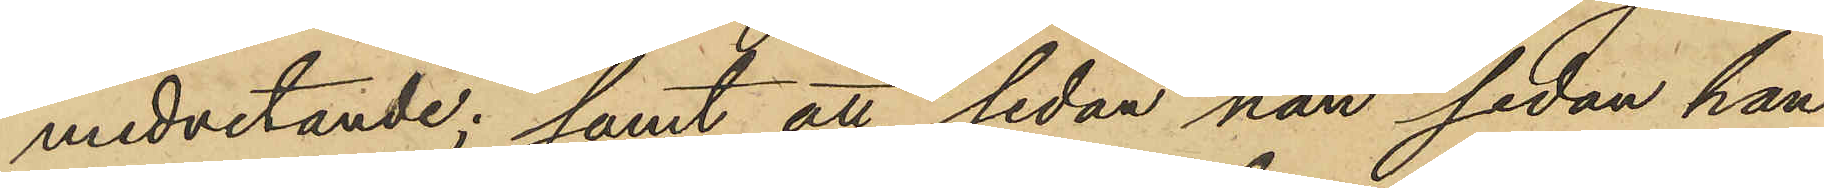medvetande; samt att, sedan han sedan han
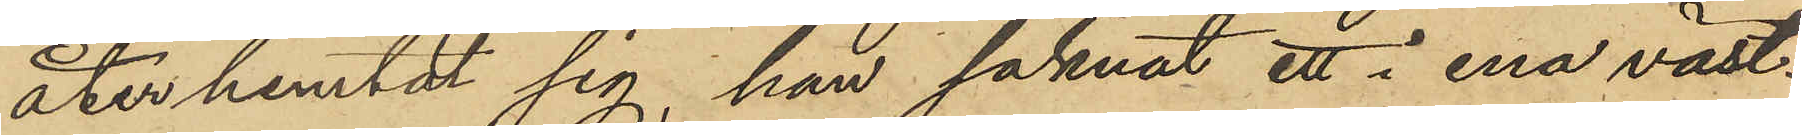återhemtat sig, han saknat ett i ena väst¬
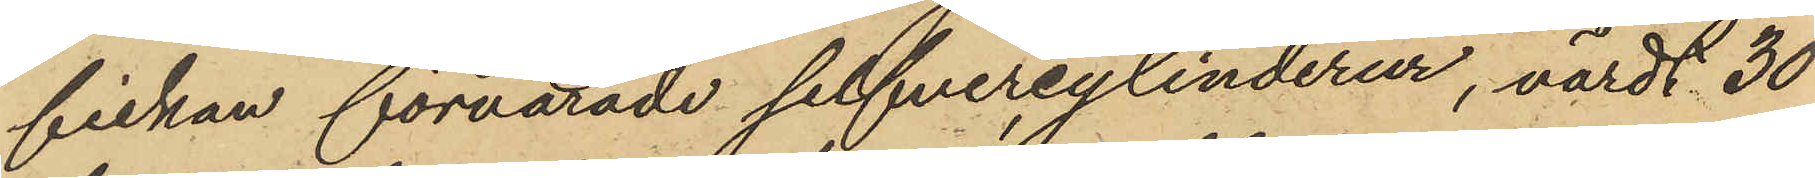fickan förvarade silfvercylinderur, värdt 30
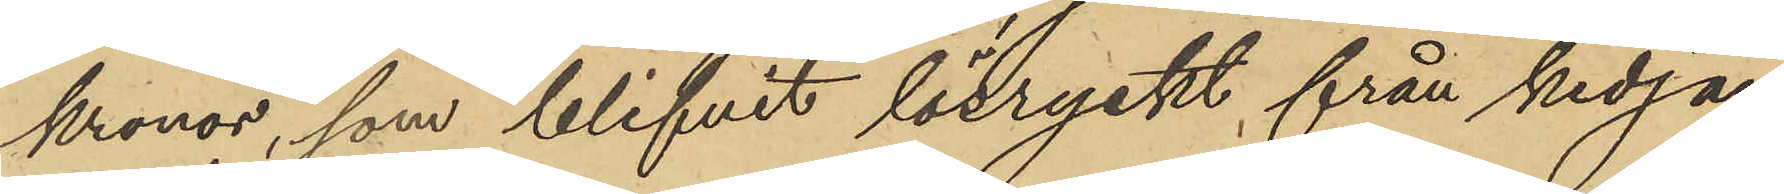kronor, som blifvit lösryckt från kedjan
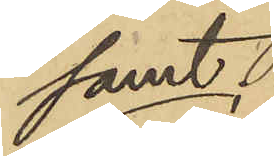samt
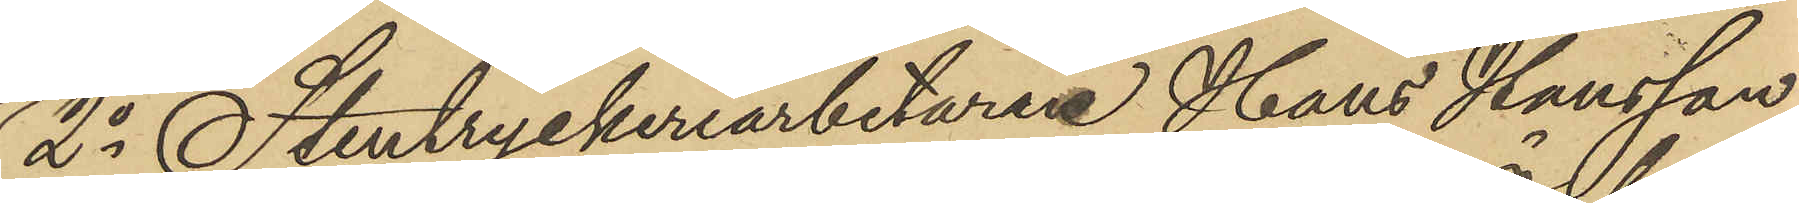2o Stentryckeriarbetaren Hans Hansson
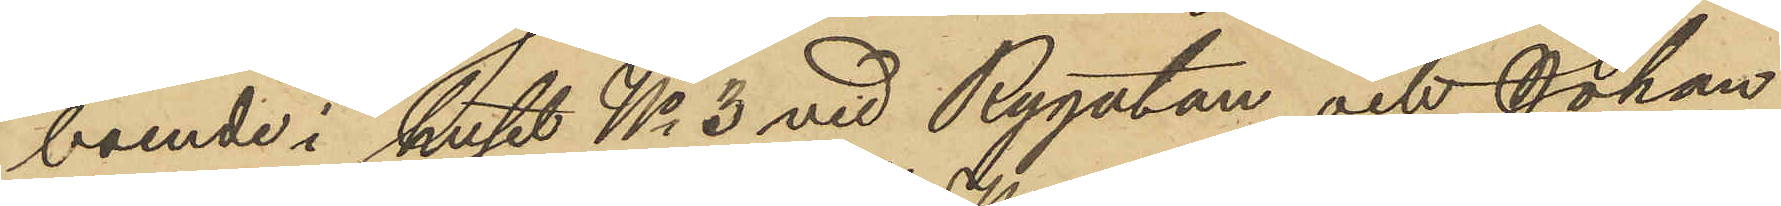boende i huset No 3 vid Rygatan och Johan
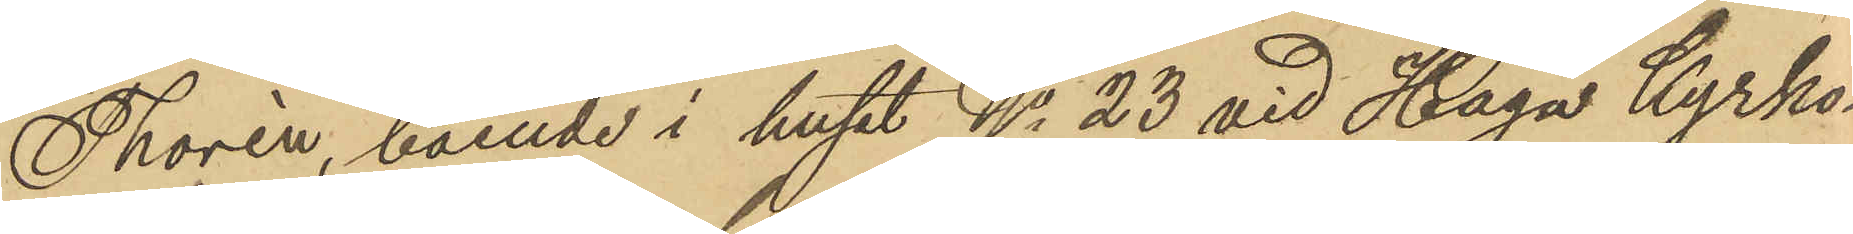Thorén, boende i huset No 23 vid Haga Kyrko¬
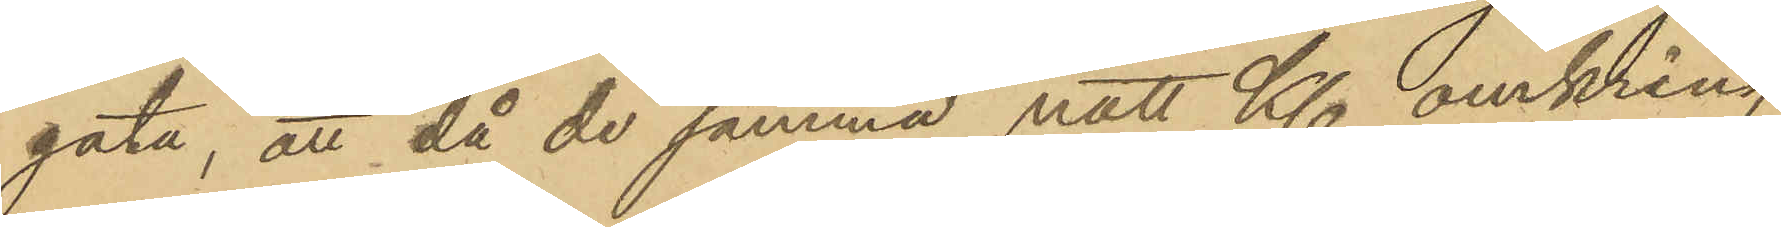gata, att då de samma natt Kl. omkring
